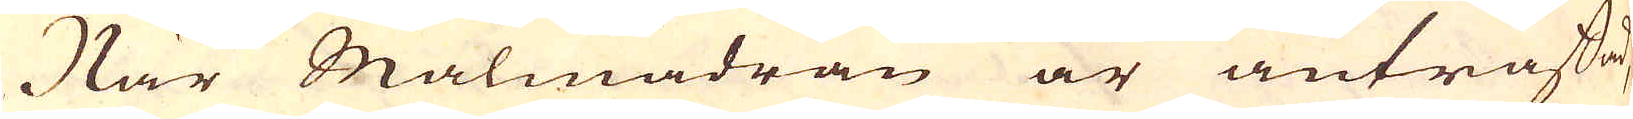När Malmådran är anträffad,
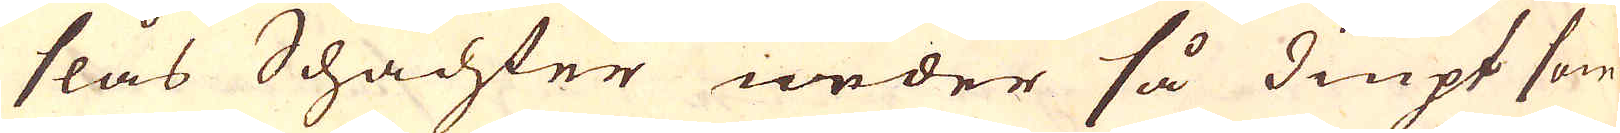slås Schachter neder så diupt som
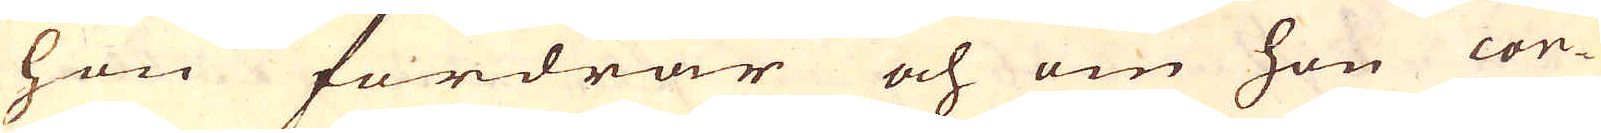hon fordrar och om hon con-
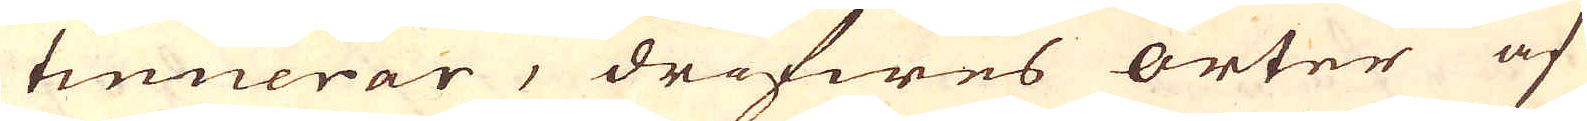tinuerar, drifwes orter af
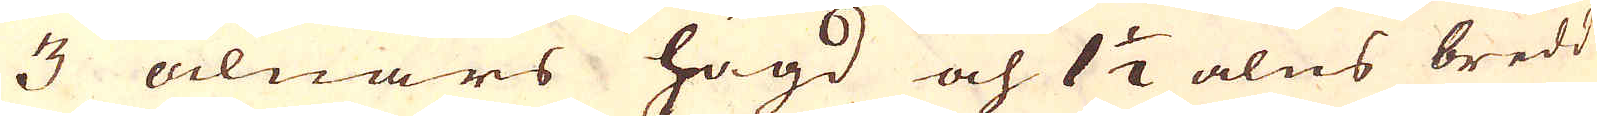3 alnars högd och 1 1/2 alns bredd
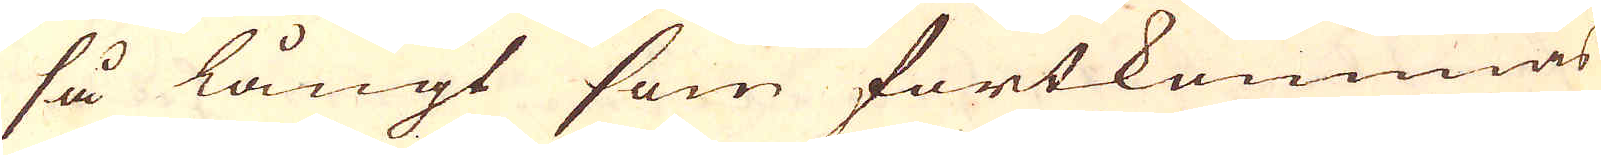så långt som fortkommas
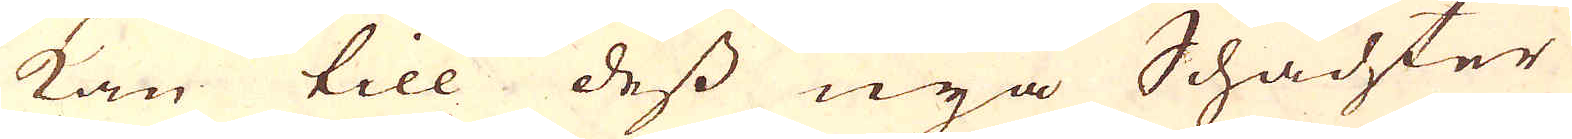kan till dess nya Schachter
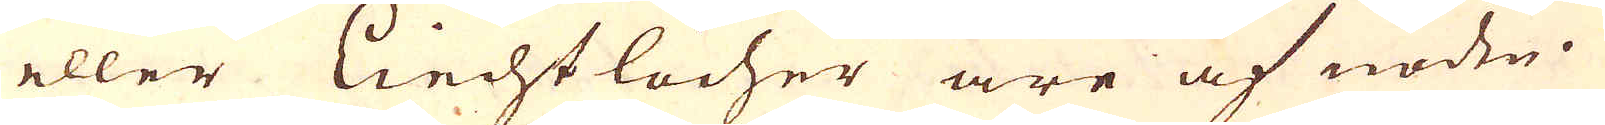eller Liecht löcher äre af nöden.
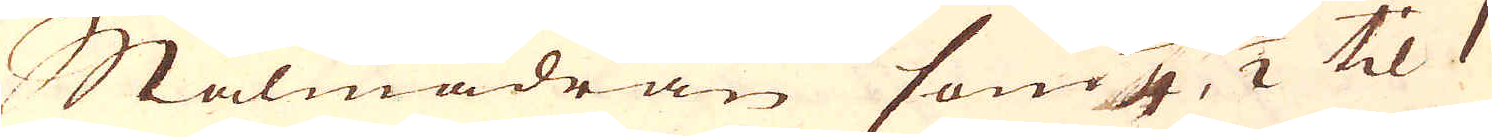Malmådran som 4, 1/2 til 1
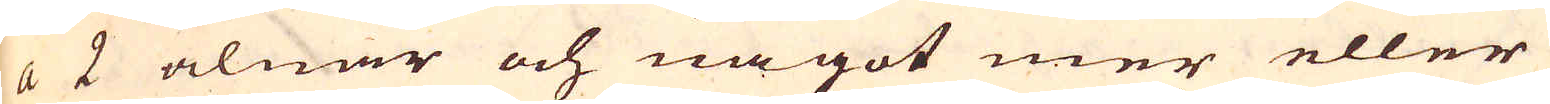a 2 alnar och något mer eller
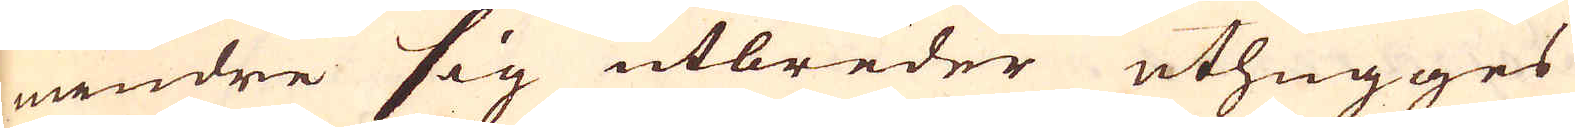mindre sig utbreder uthugges
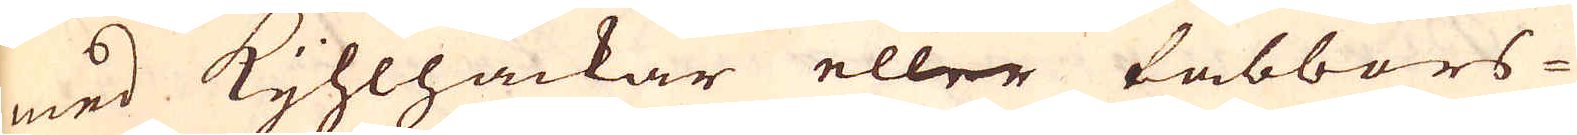med Kijhlhackar eller tabbors-
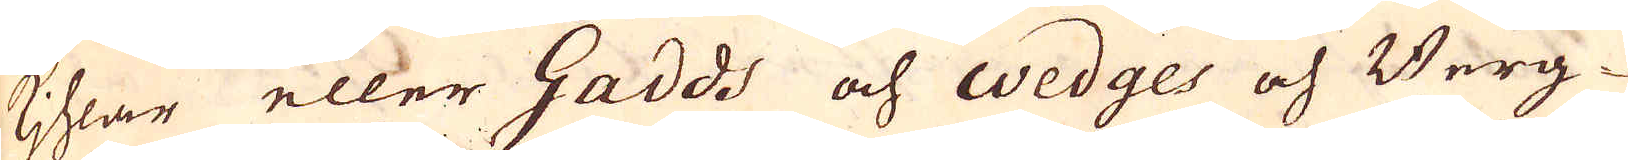kihlar eller Gadds och Wedges och Berg-
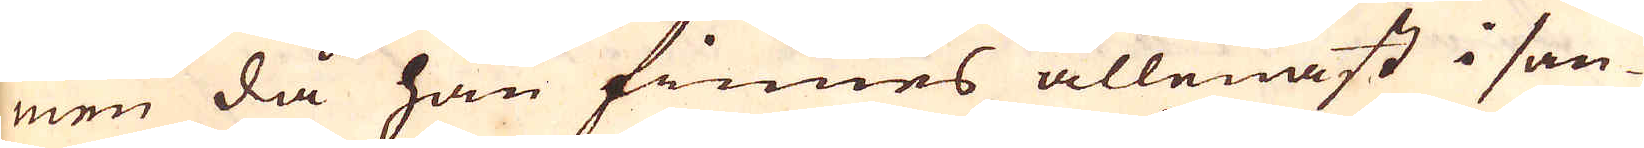men då han finnes allenast i san-
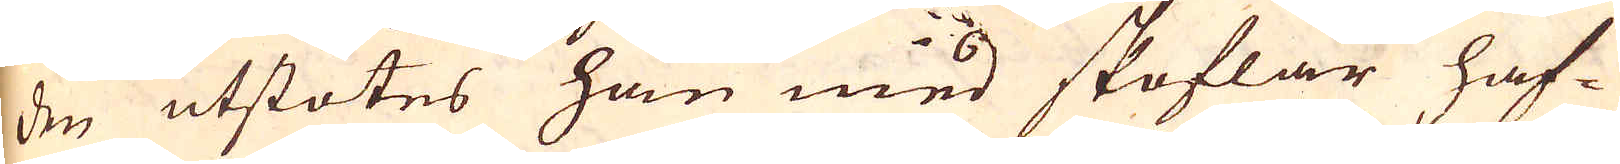den utstötes han med skoflar haf-
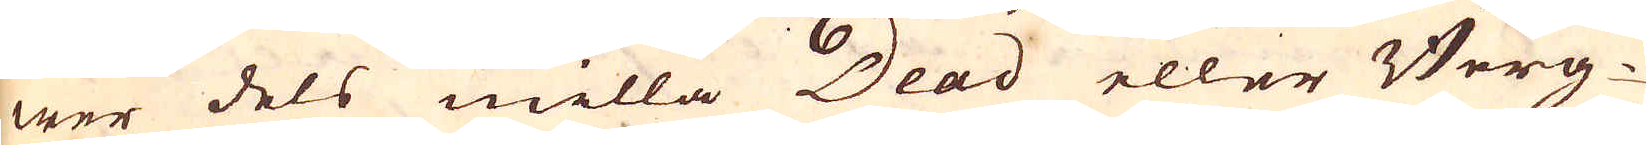wer dels milla Dead eller Berg-
